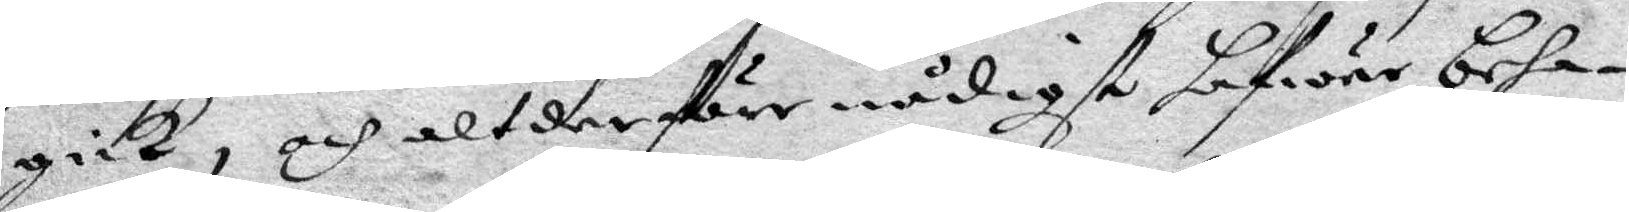gick, och alt derföre nådigst hafwer beha¬
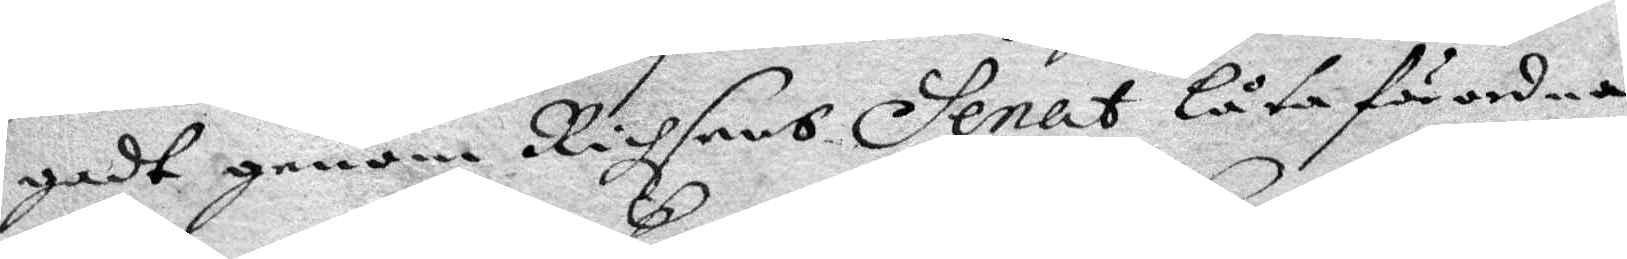gadt genom Richsens Senat låta förordna
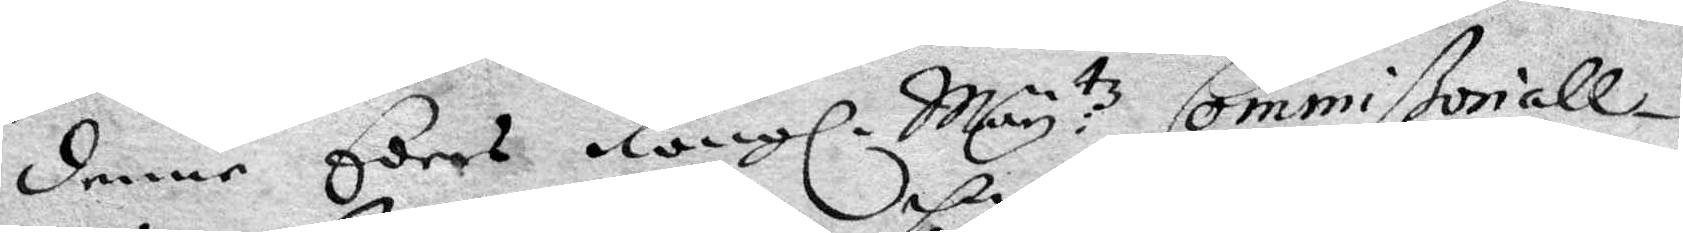denne Eders Kongl. May:tz Commißoriall¬
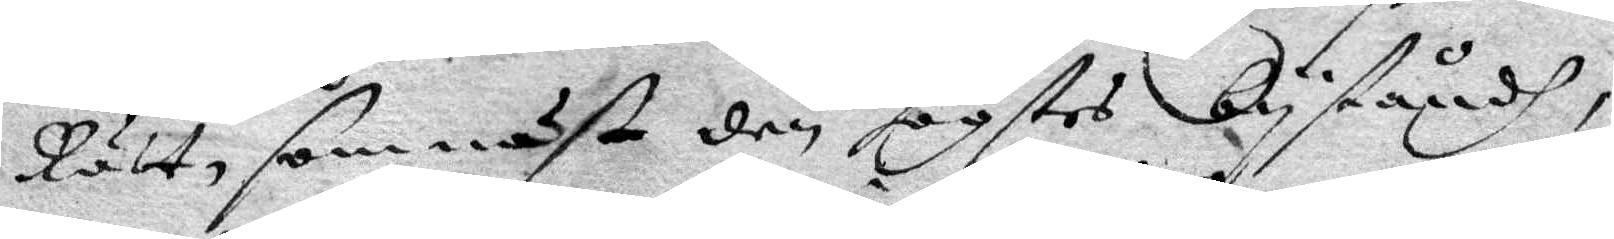Rätt, som näst den högstes byståndh,
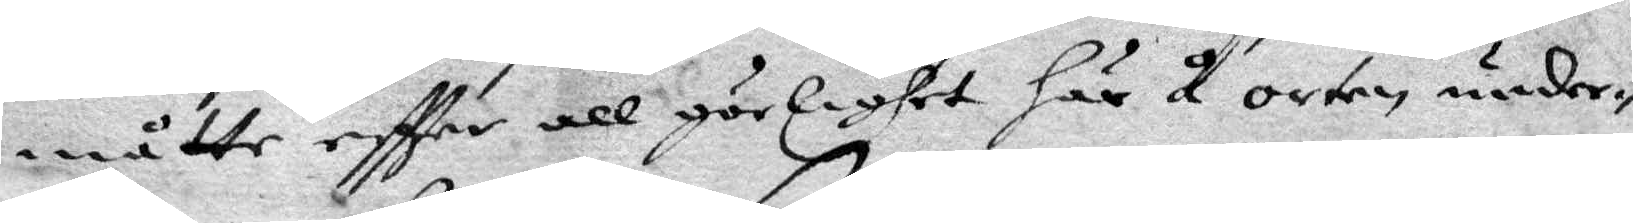måtte eftter all görlighet här å orten, under¬
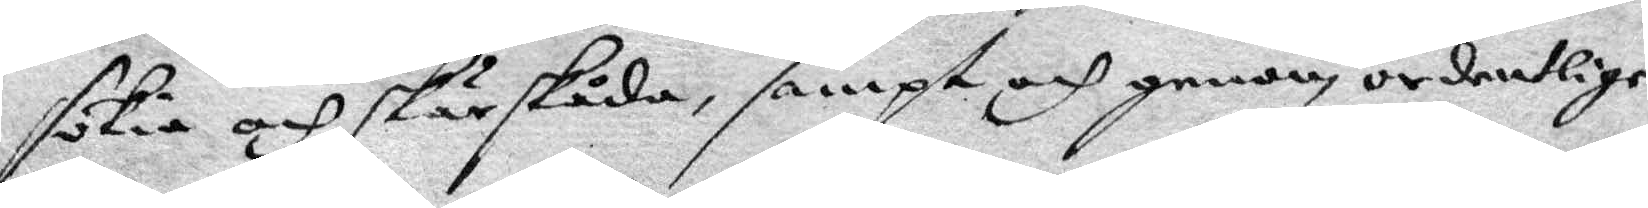sökia och skärskåda, sampt och genom ordentelige
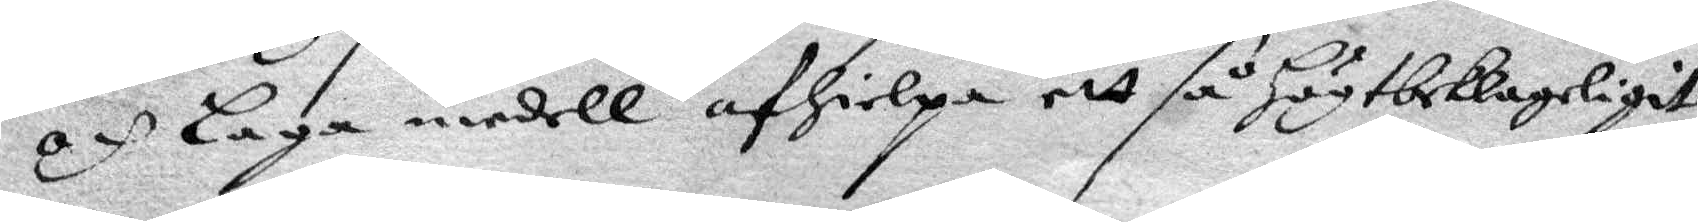och laga medell afhielpa att så Högtbeklageligit
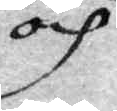och
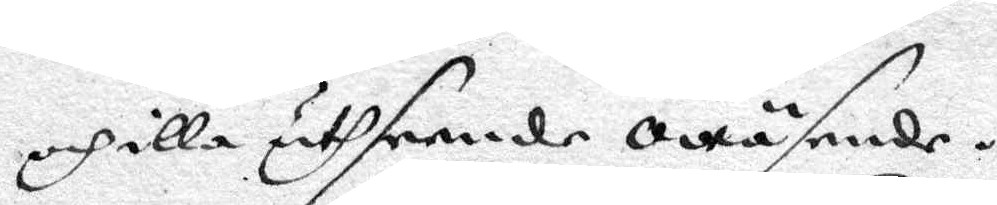och illa uthseende owäsende.
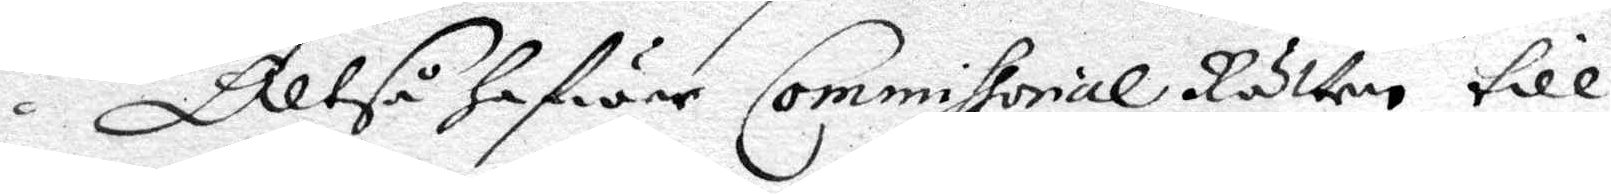Altså hafwer Commissorial Rätten till
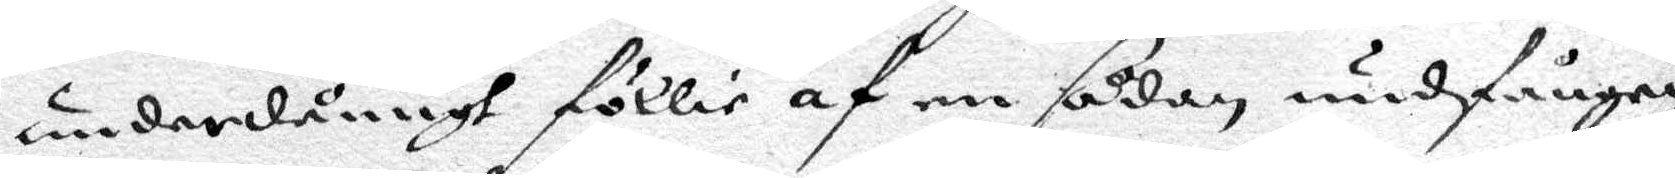underdånigh föllie af en sådan undfången
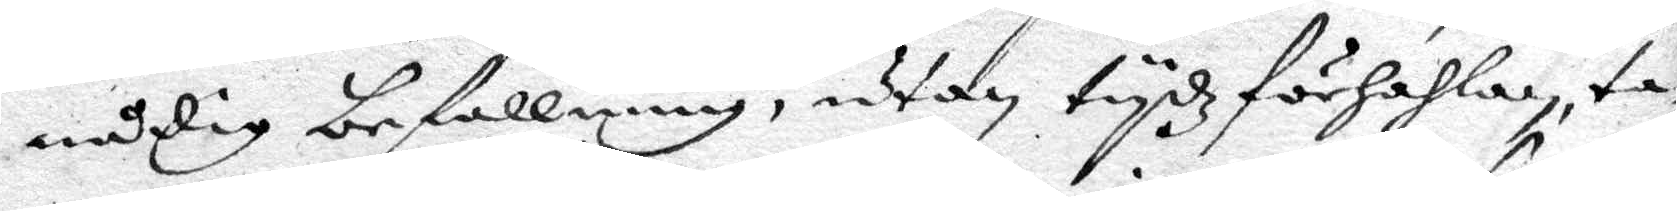nådig befallning, utan tydhz förhahlan, ta¬
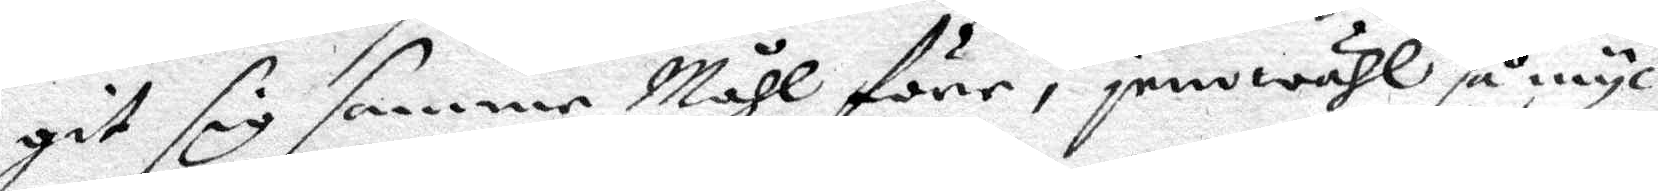git sig samme Måhl före, jemwähl så myc¬
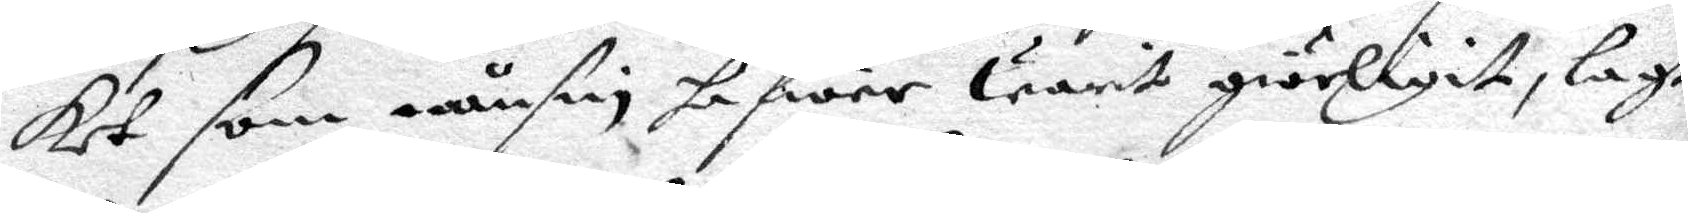ket som nånsin hafwer Warit giörligit, lagt
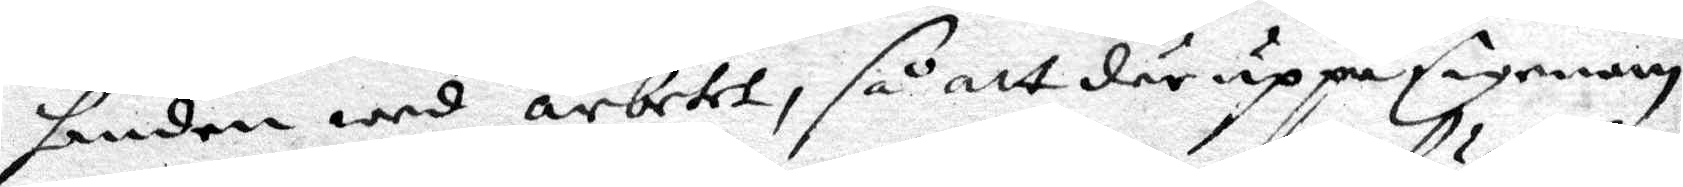handen wed arbetet, så att där uppå Eegenom
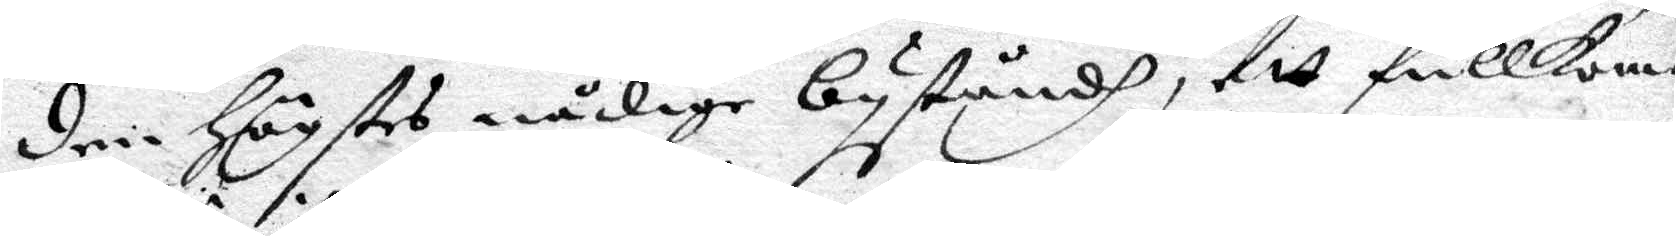den Högstes nådige byståndh, att fullkom¬
